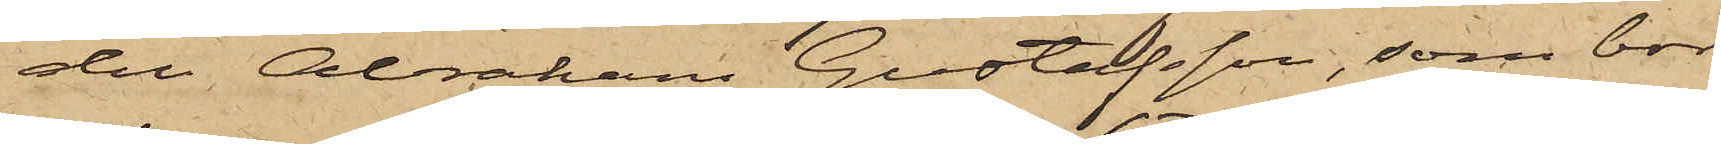den Abraham Gustafsson, som bor
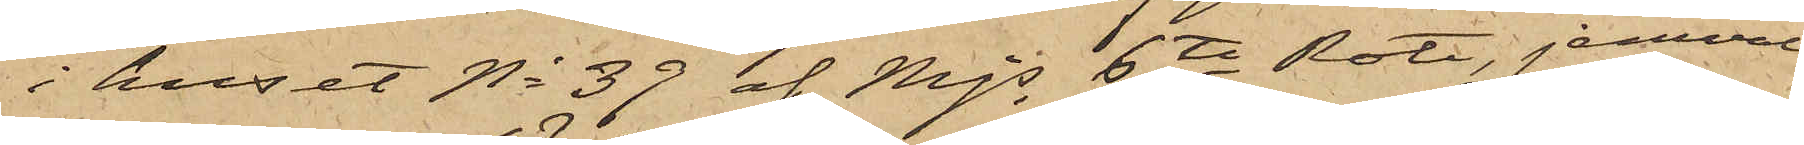i huset No 39 af Mjs 6te Rote, jemväl
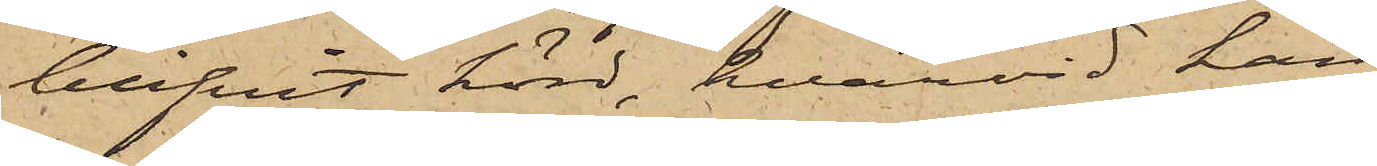blifvit hörd, hvarvid han
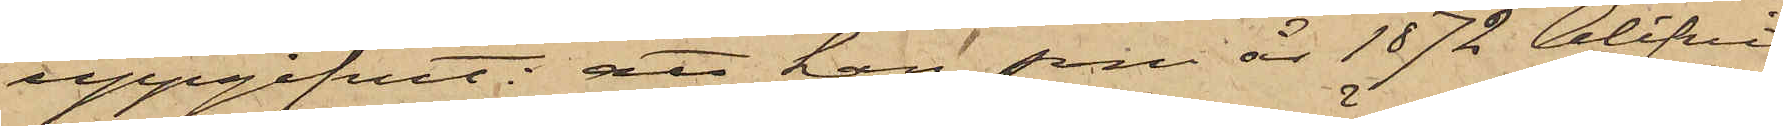uppgifvit: att han, som år 1872 blifvit
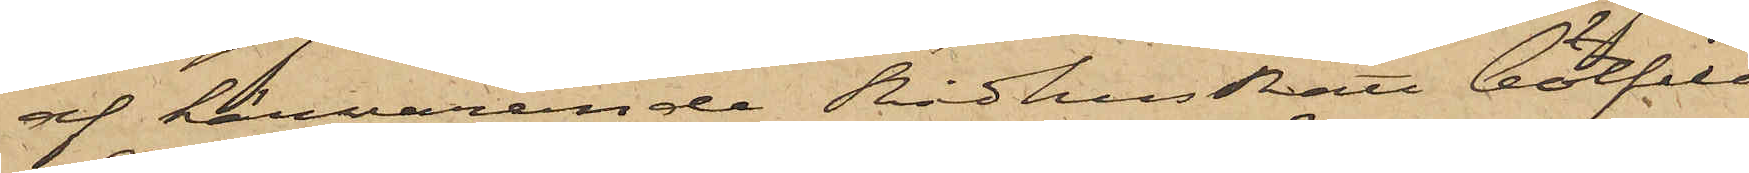af härvarande Rådhusrätt bötfäld
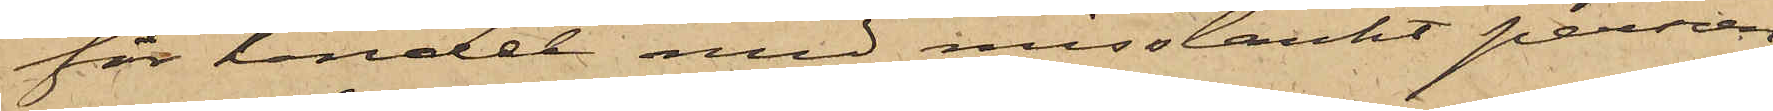för handel med misstänkt persson,
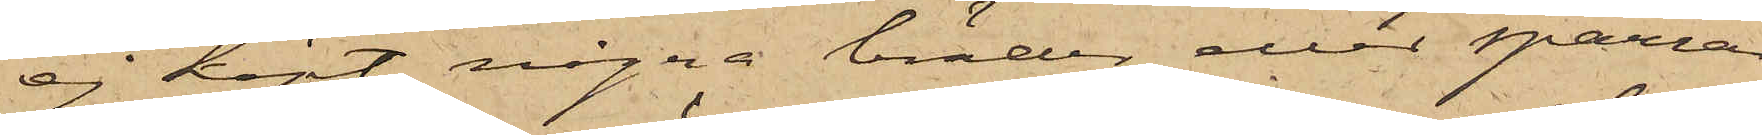ej köpt några bräder eller sparrar
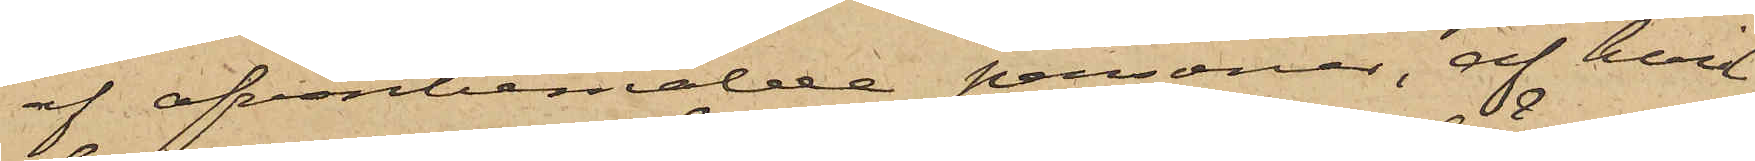af ofvanbemälde personer, af hvil¬
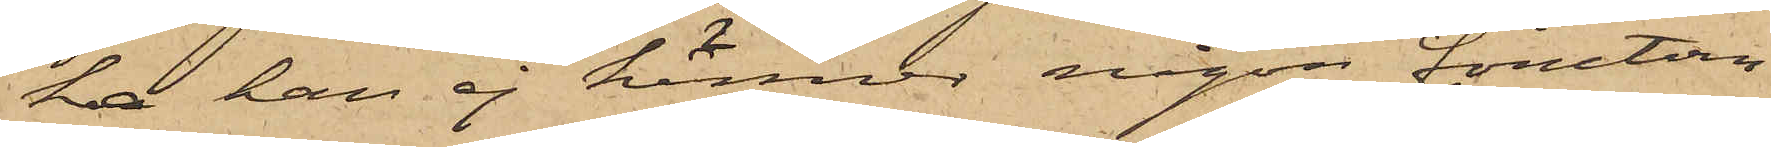ka han ej känner någon förutom
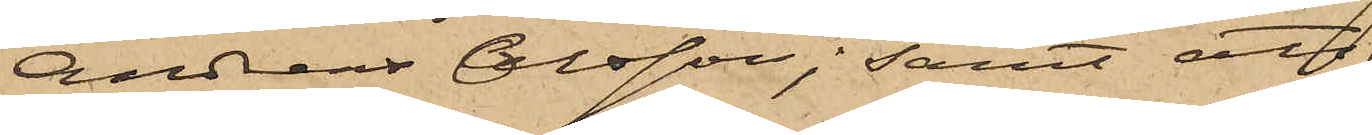Andreas Olsson; samt att
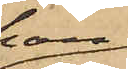han
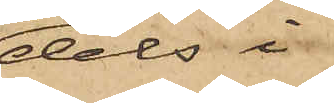dels i
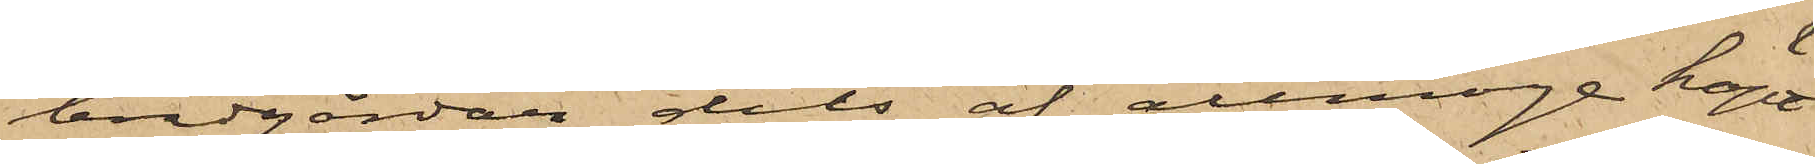brädgården dels af allmoge köpt
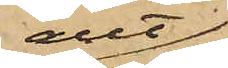allt
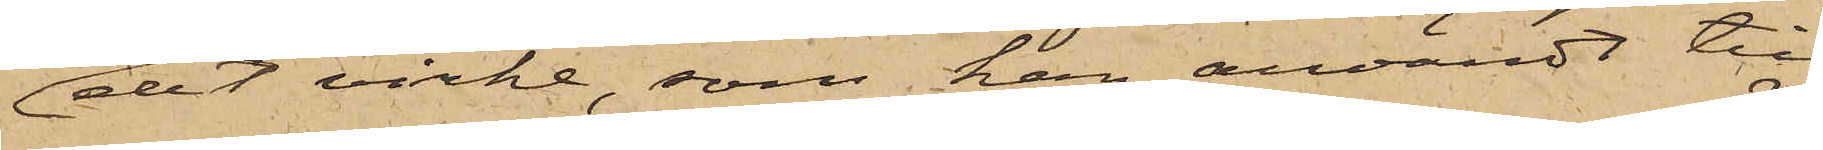det virke, som han användt till
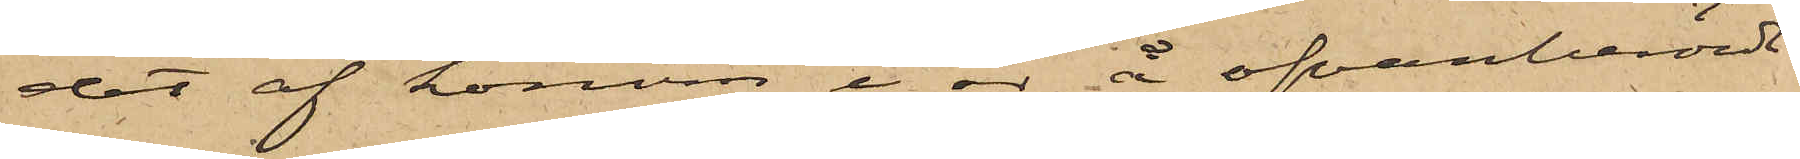det af honom i år å ofvanberörde
